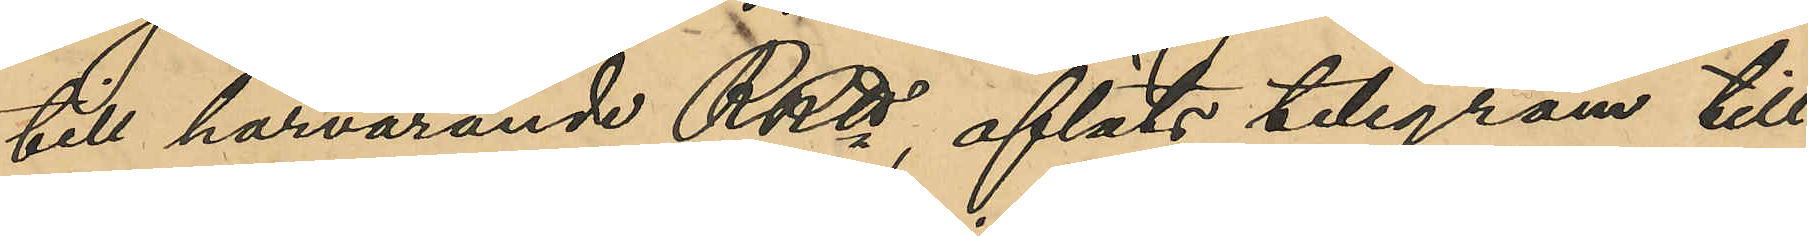till härvarande RRtt, afläts telegram till
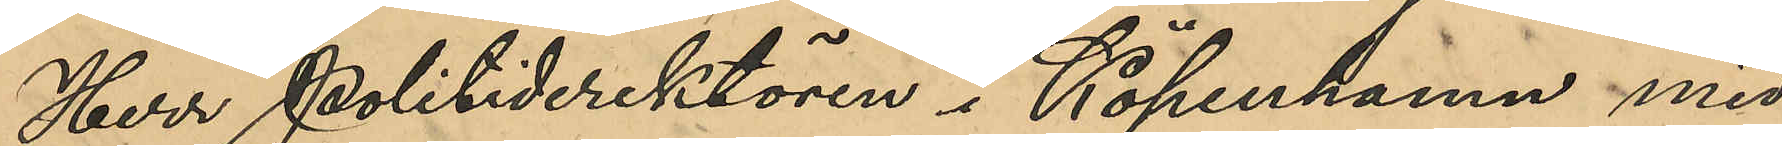Herr Politidirektören i Köpenhamn med
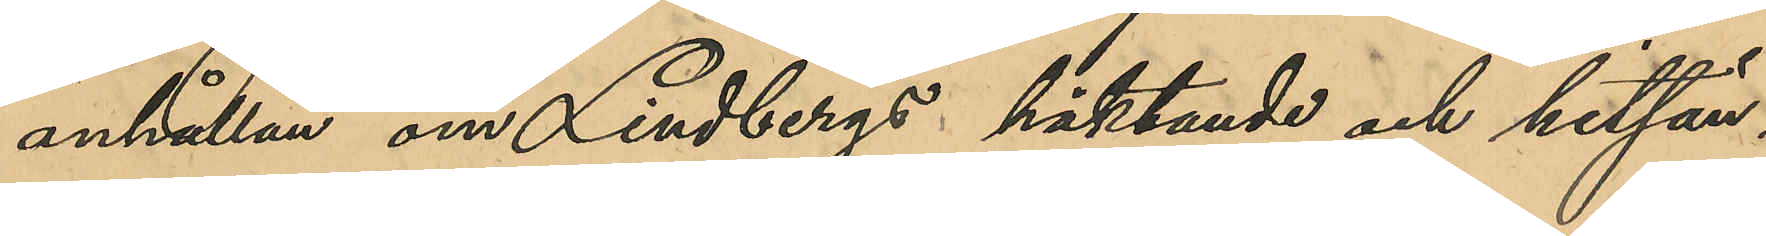anhållan om Lindbergs häktande och hitsän¬
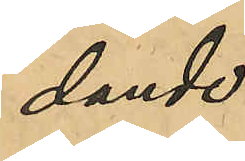dande.
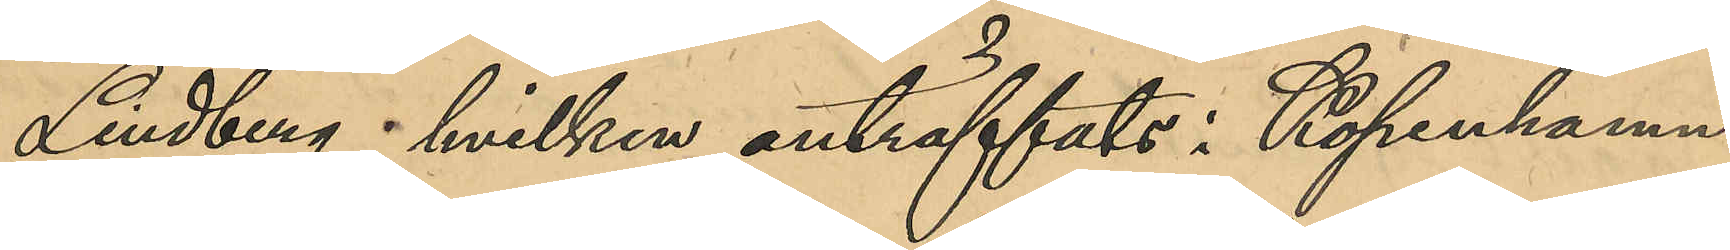Lindberg, hvilken anträffats i Köpenhamn,
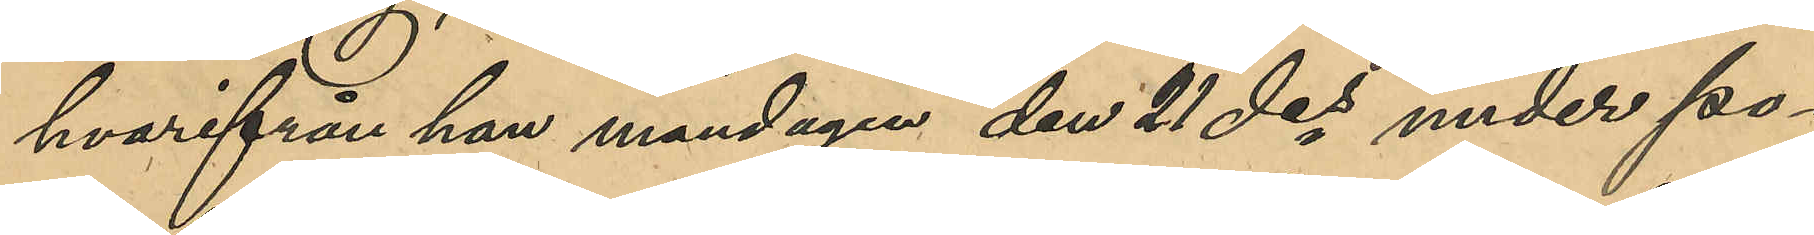hvarifrån han måndagen den 21 des under po¬
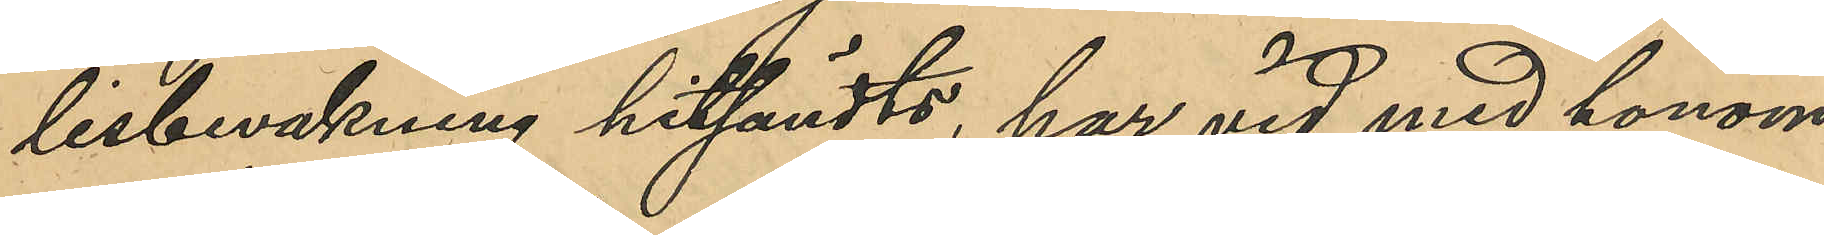lisbevakning hitsändts, har vid med honom
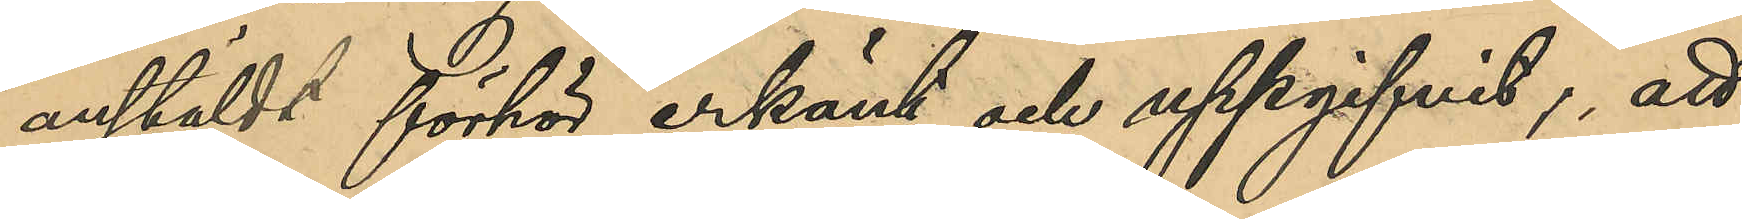anstäldts förhör erkänt och uppgifvit, att
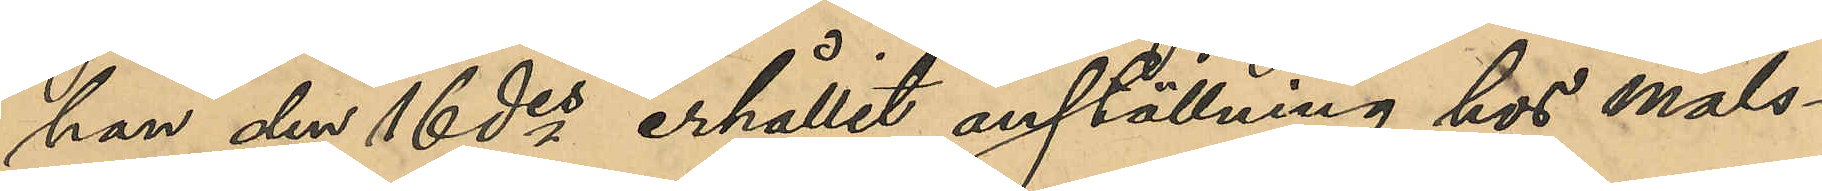han den 16 des erhållit anställning hos måls¬
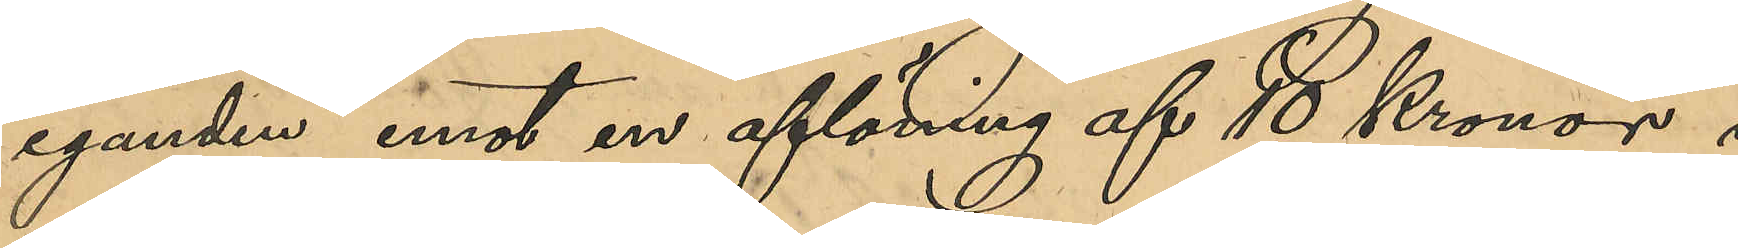eganden emot en aflöning af 10 Kronor i
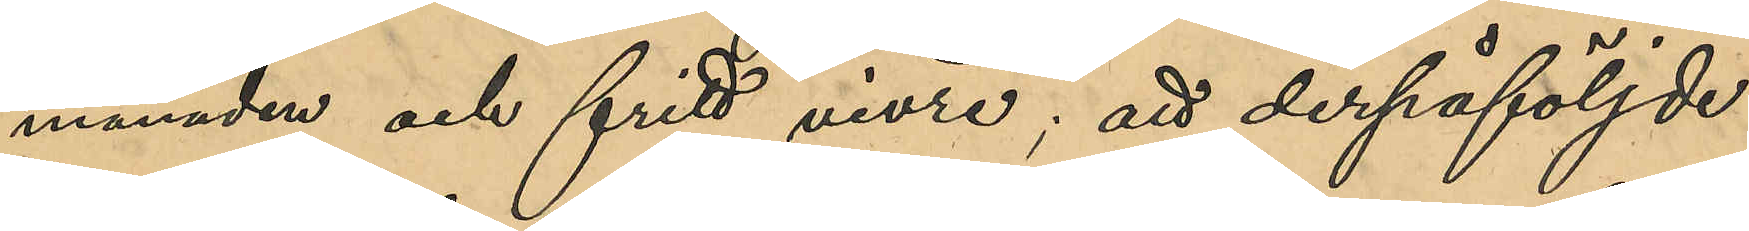månaden och fritt vivre; att derpåföljde
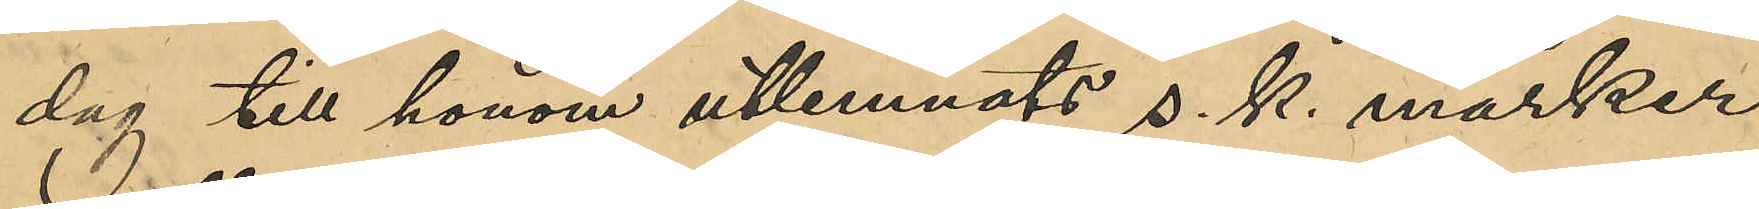dag till honom utlemnats s. k. marker,
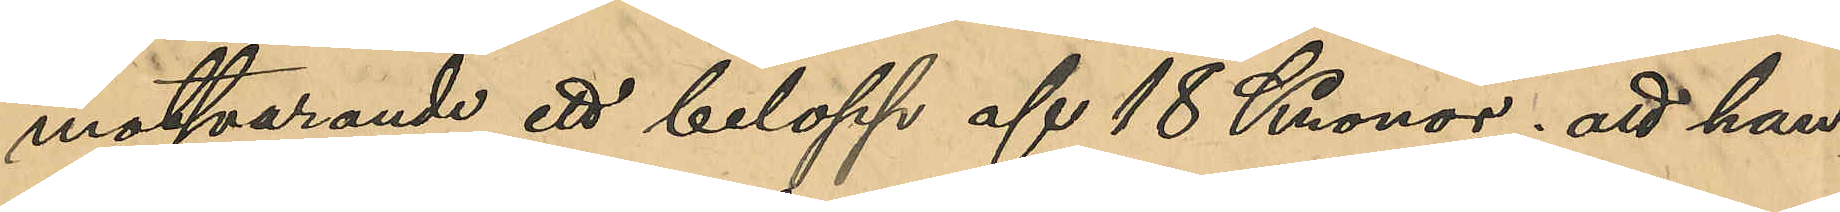motsvarande ett belopp af 18 Kronor; att han
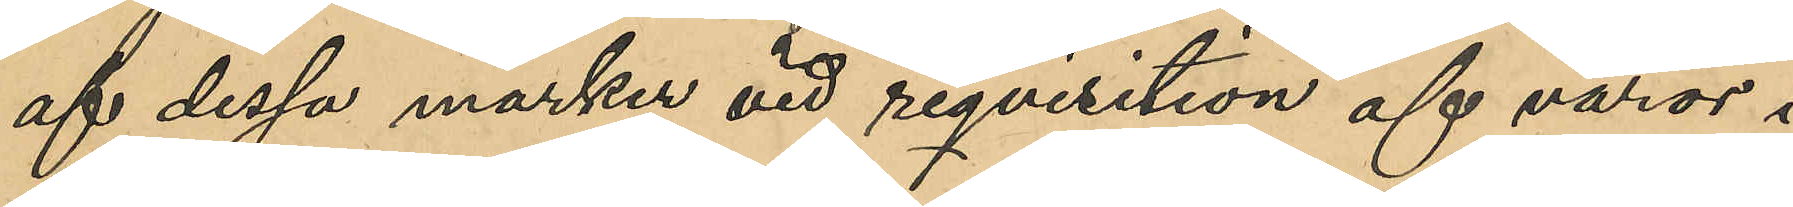af dessa marker vid reqvisition af varor i
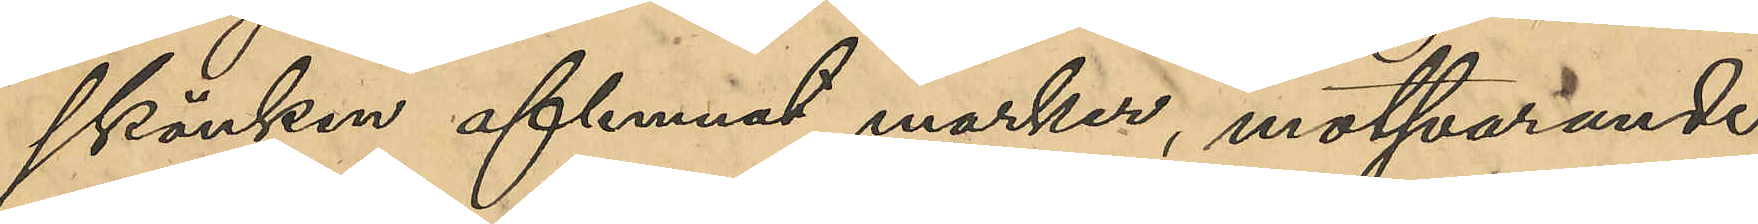skänken aflemnat marker, motsvarande
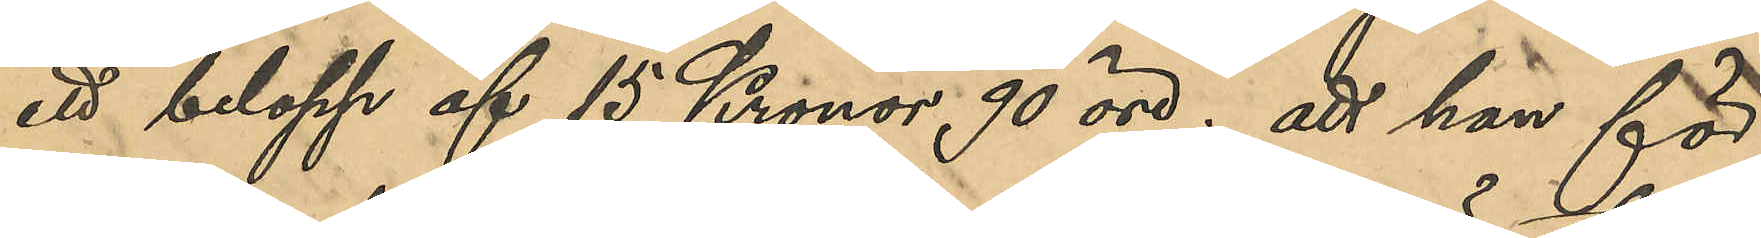ett belopp af 15 Kronor 90 öre; att han för
